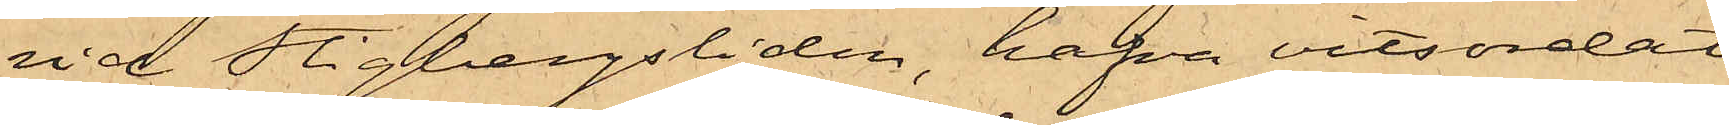vid Stigbergsliden, hafva vitsordat
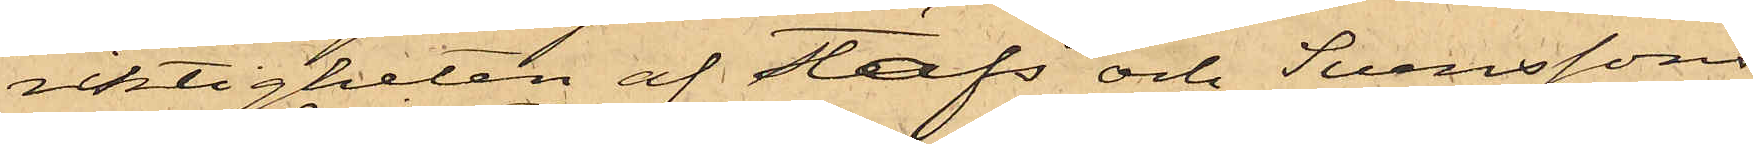riktigheten af Stafs och Svenssons
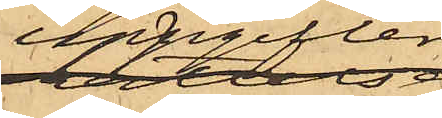uppgifter
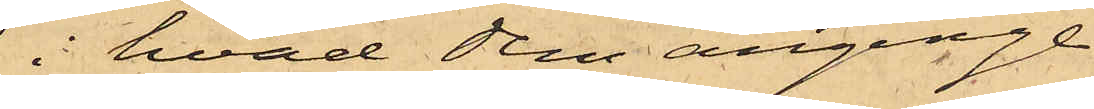i hvad dem anginge.
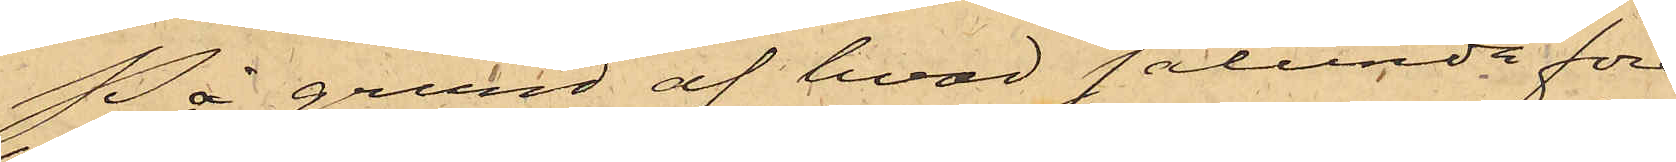På grund af hvad sålunda före¬
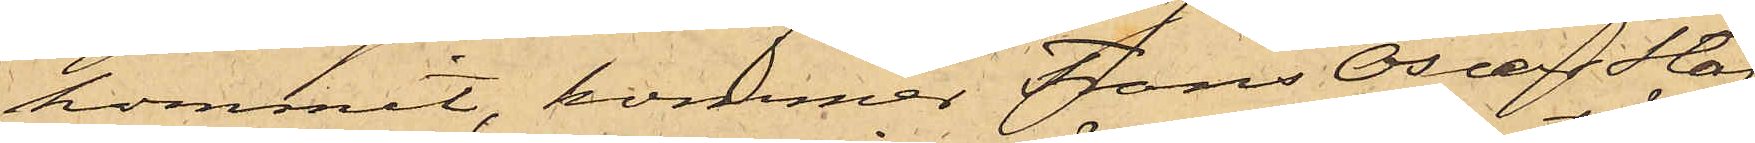kommit, kommer Frans Oscar Staf
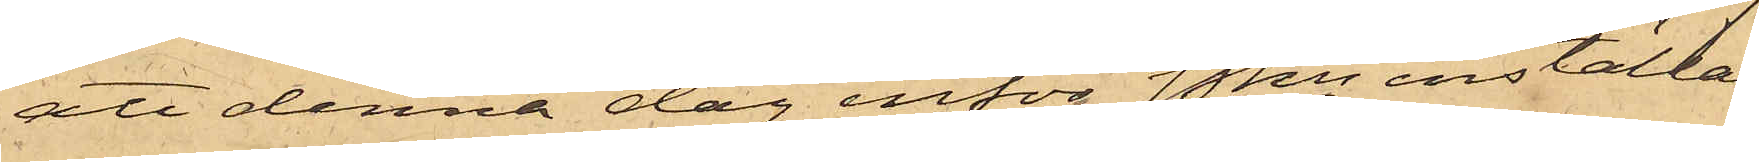att denna dag inför Pkn inställas
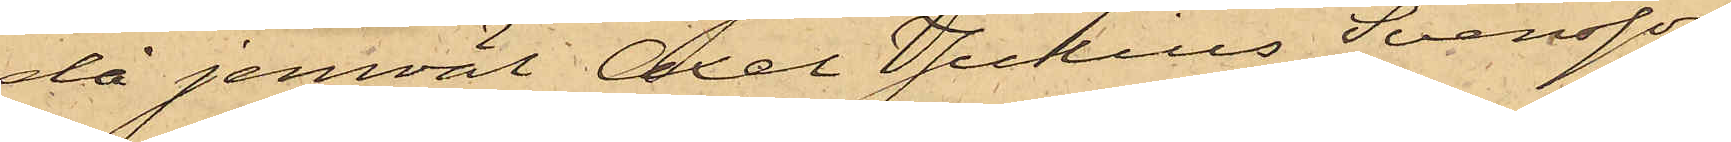då jemväl Axel Julius Svensson
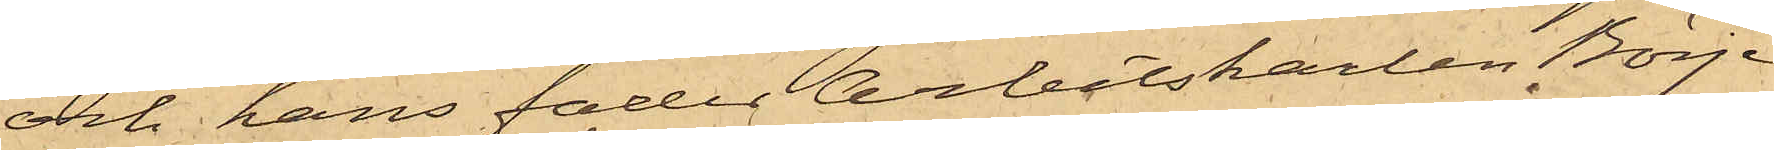och hans fader Arbetskarlen Börje
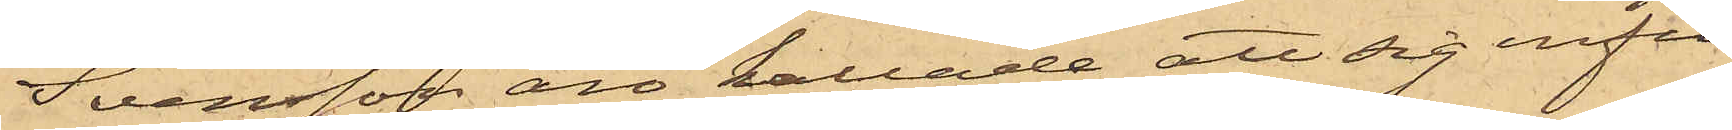Svensson äro kallade att sig infin¬
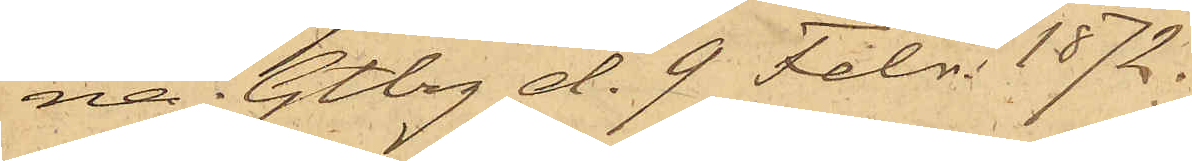na. Gtbrg d. 9 Febr. 1872.
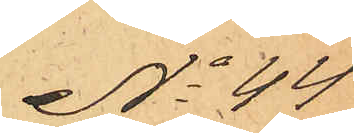No 44
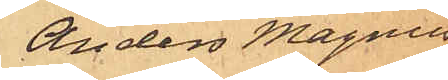Anders Magnus
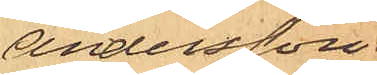Andersson
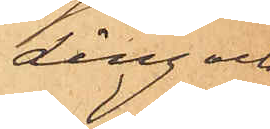Ling och
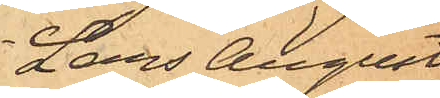Lars August
